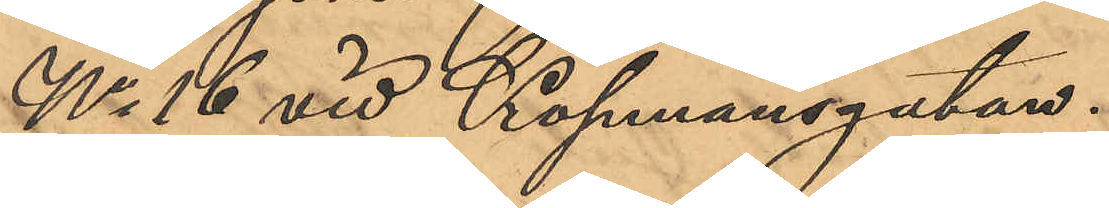No 16 vid Köpmansgatan.
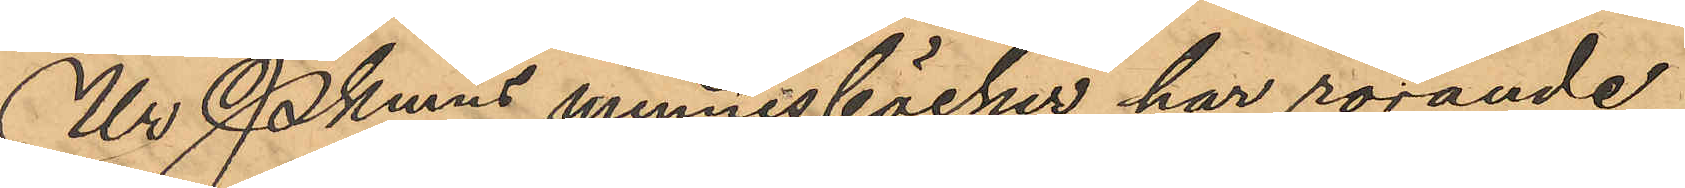Ur Pkmns minnesböcker har rörande
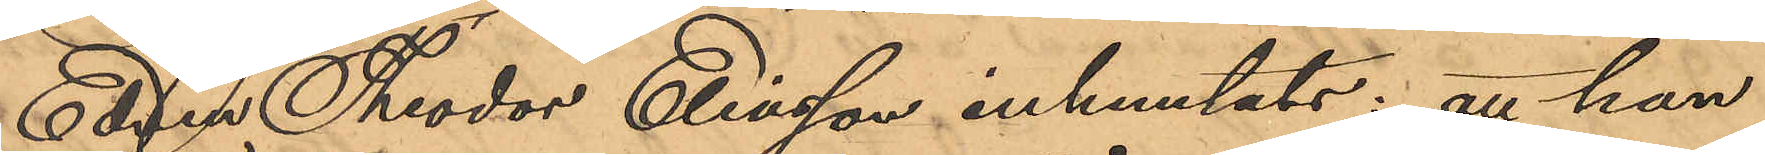Edvin Theodor Eliasson inhemtats: att han
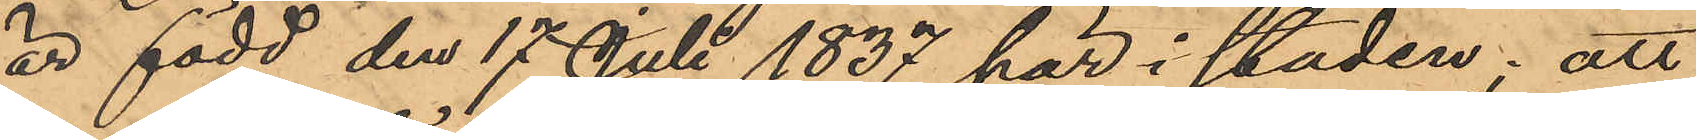är född den 17 Juli 1837 här i staden; att
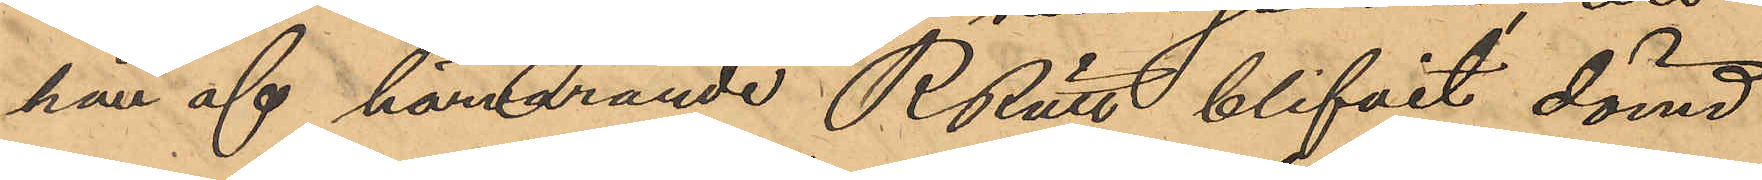han af härvarande RRätt blifvit dömd
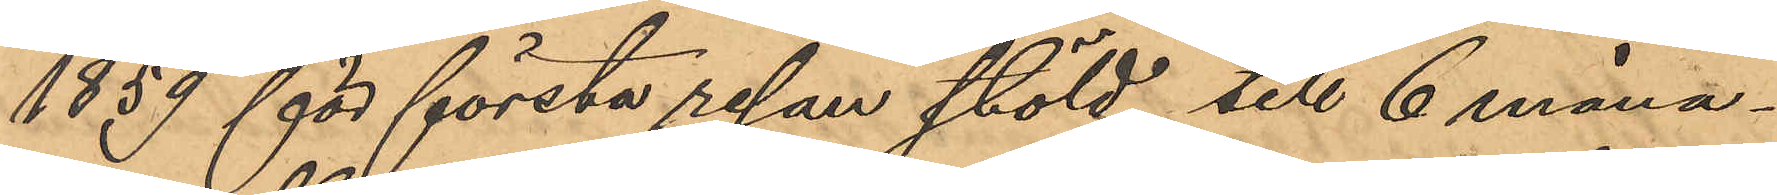1859 för första resan stöld till 6 måna¬
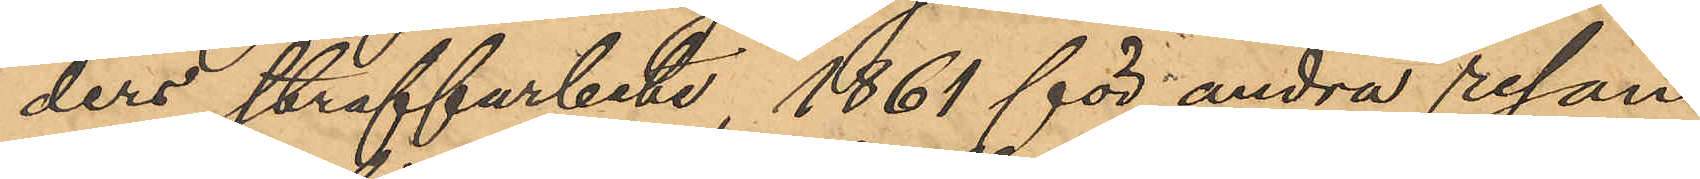ders straffarbete, 1861 för andra resan
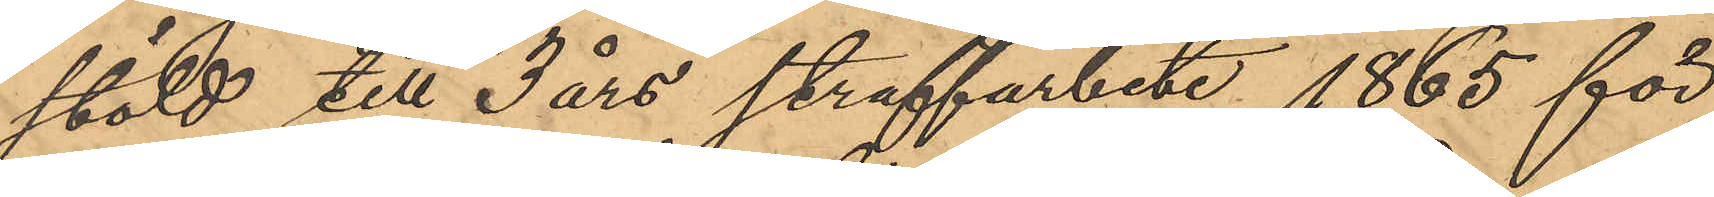stöld till 3 års straffarbete, 1865 för
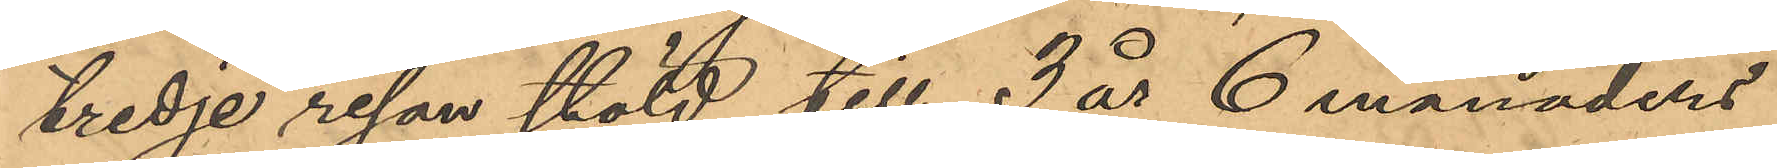tredje resan stöld till 3 år 6 månaders
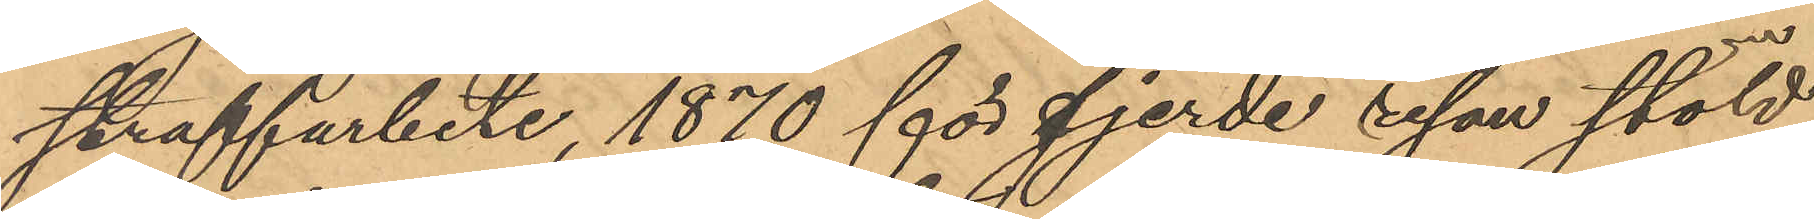straffarbete, 1870 för fjerde resan stöld
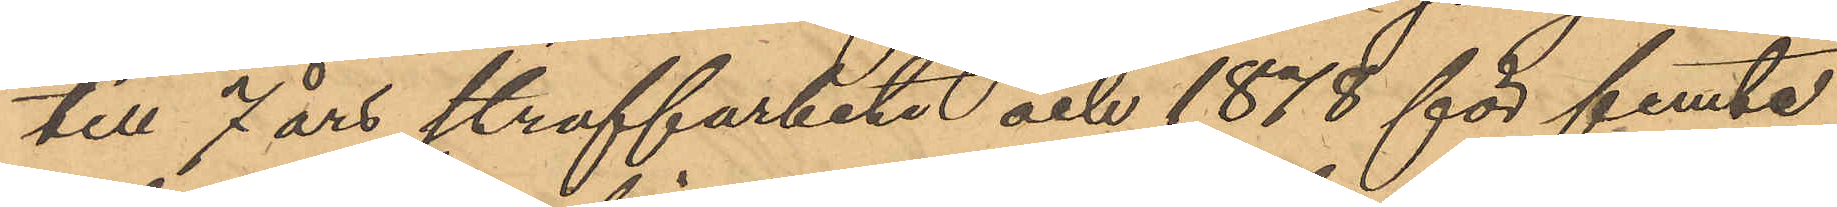till 7 års straffarbete och 1878 för femte
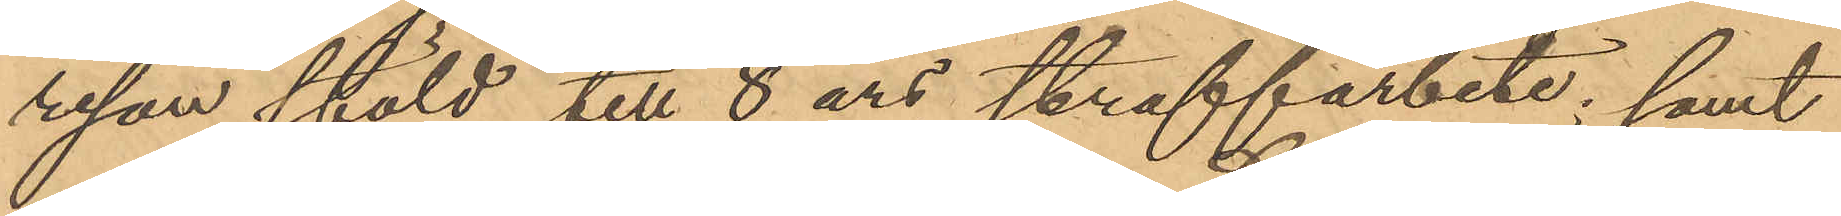resan stöld till 8 års straffarbete; samt
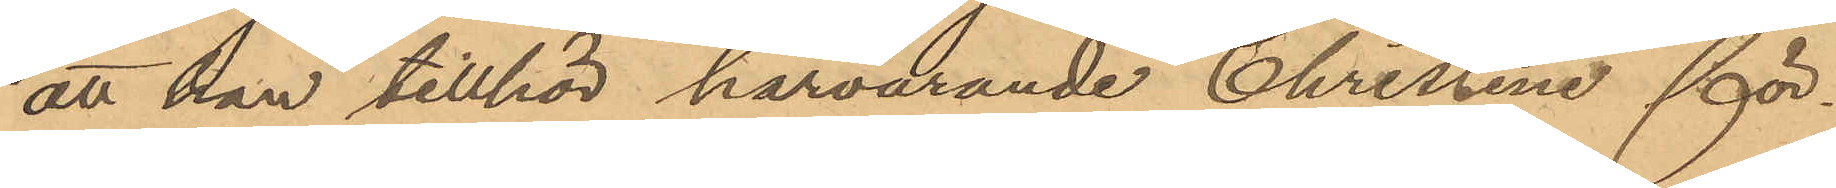att han tillhör härvarande Christine för¬
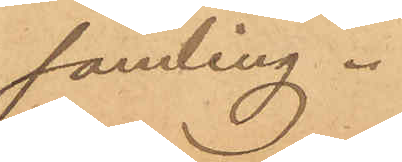samling.
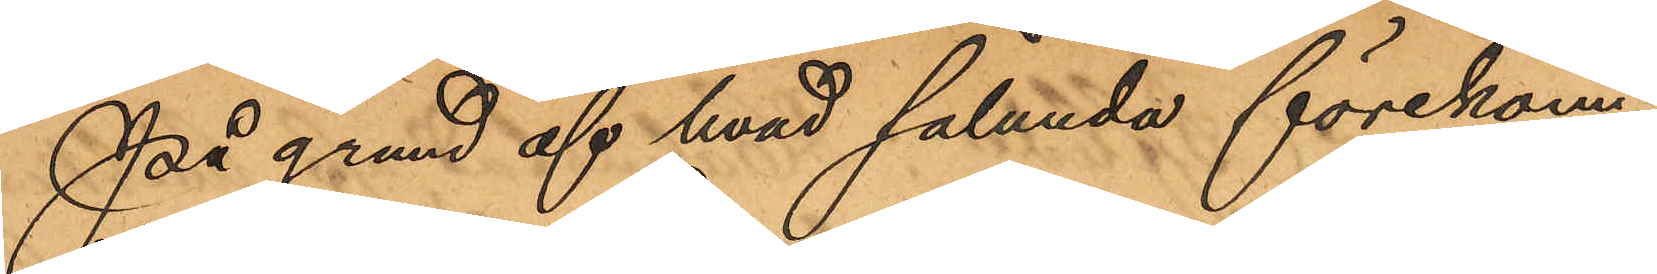På grund af hvad sålunda förekom¬
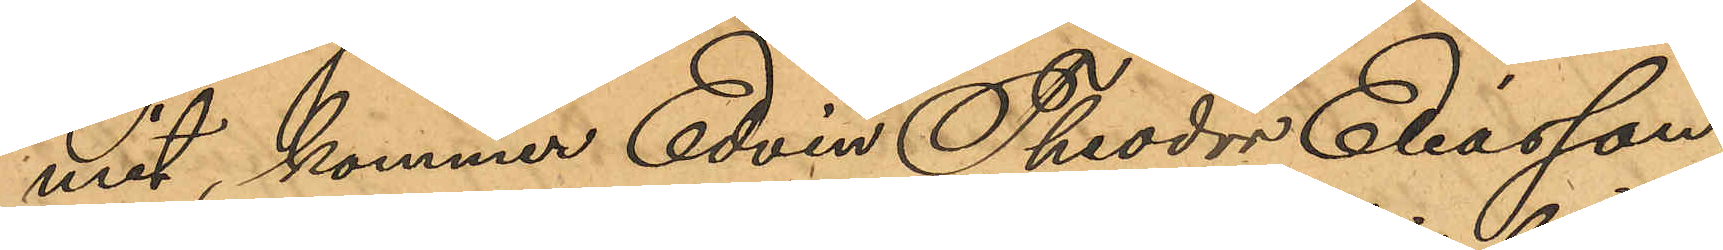mit, kommer Edvin Theodor Eliasson,
